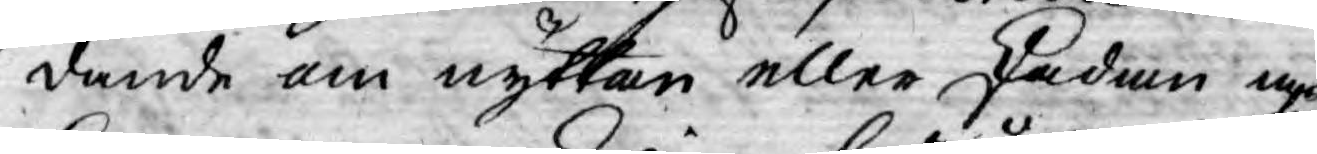tande om nyttan eller skadan af
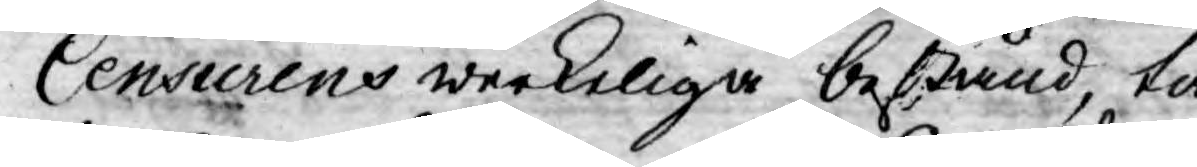Censurens werkeliga bestånd, tå
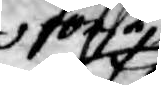först
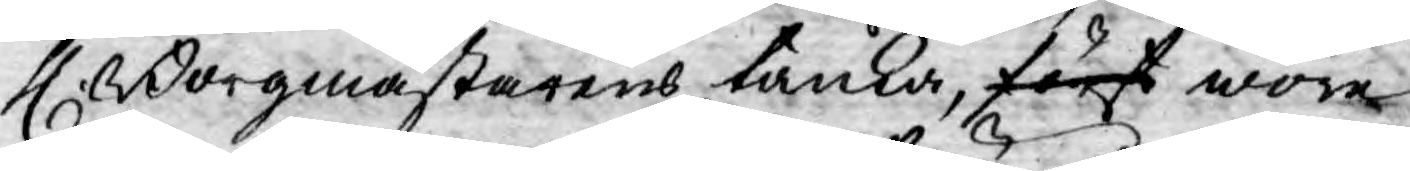H. Borgmästarens tanka, först wore
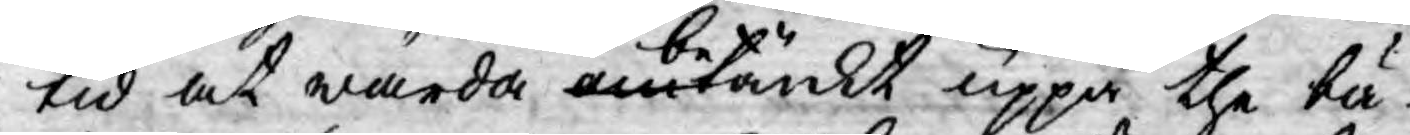tid at warda betänkt uppå the bä¬
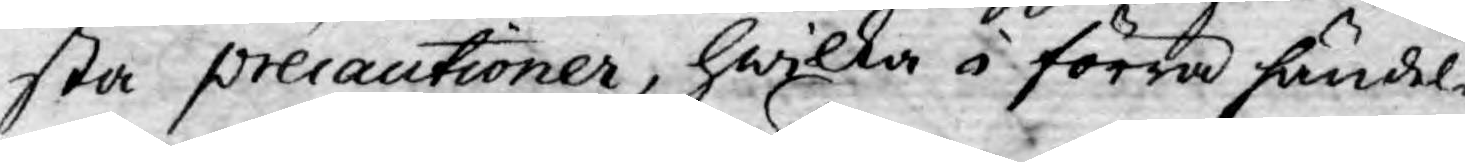sta precautioner, hwilka i förra händel-
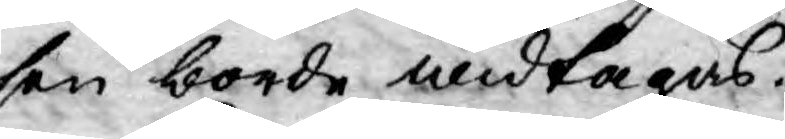sen borde widtagas.
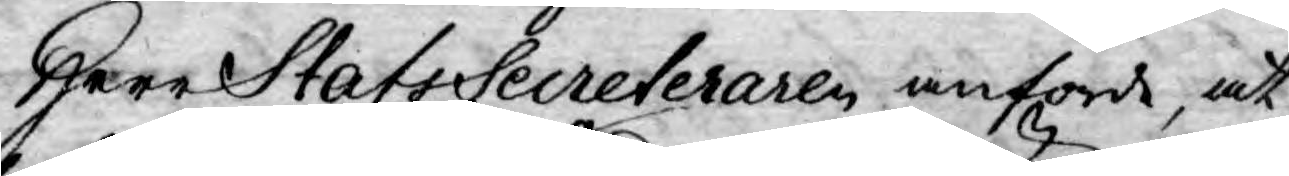Herr StatsSecreteraren anförde, at
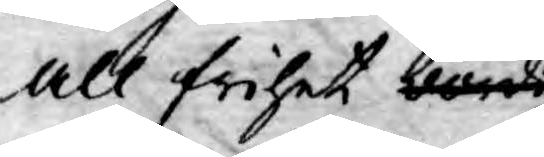all frihet böra
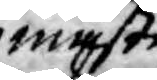måste
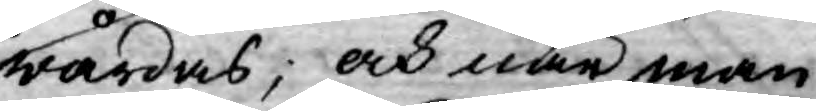wårdas; och när man
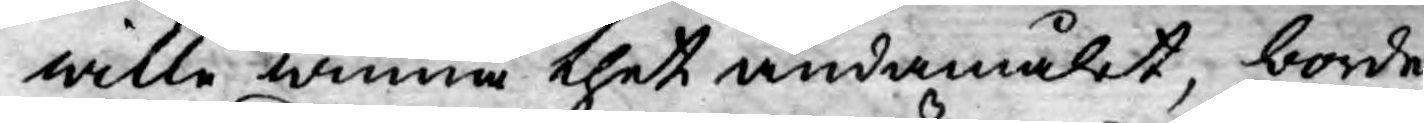wille winna thet ändamålet, borde
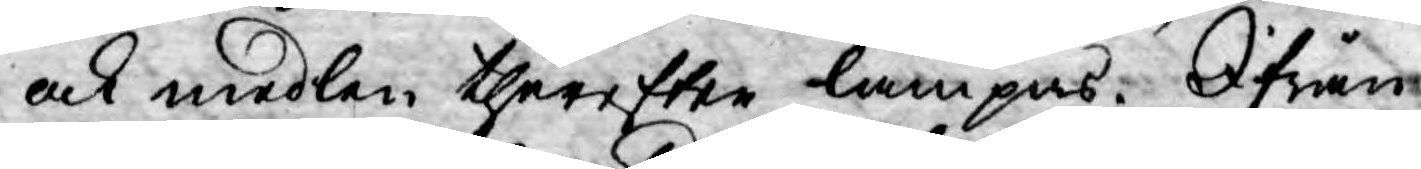ock medlen therefter lämpas. Ifrån
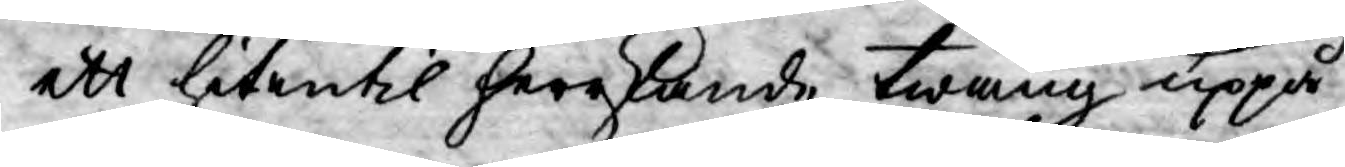ett hitintil herrskande twång uppå
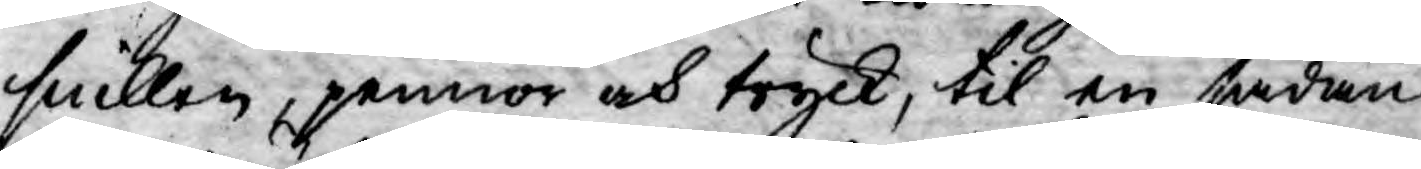snillen, pennor och tryck, til en sådan
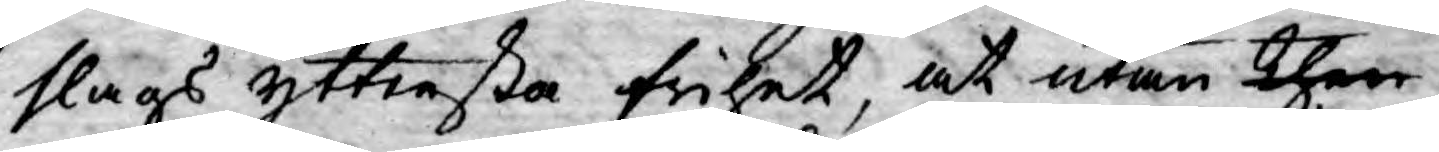slags yttersta frihet, at utan then
